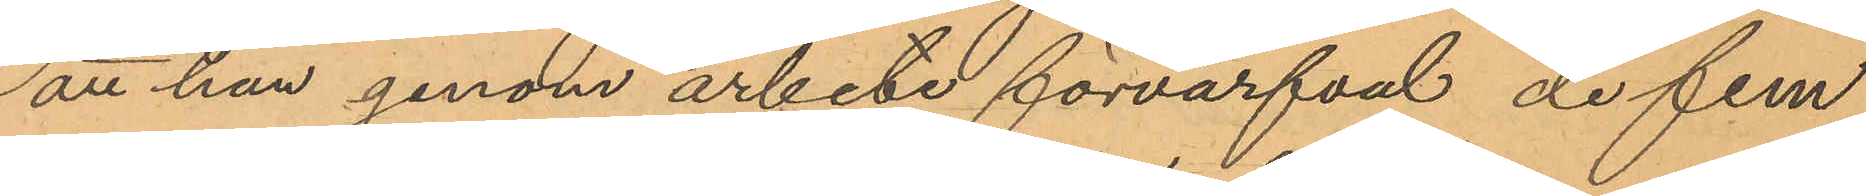att han genom arbete förvärfvat de fem
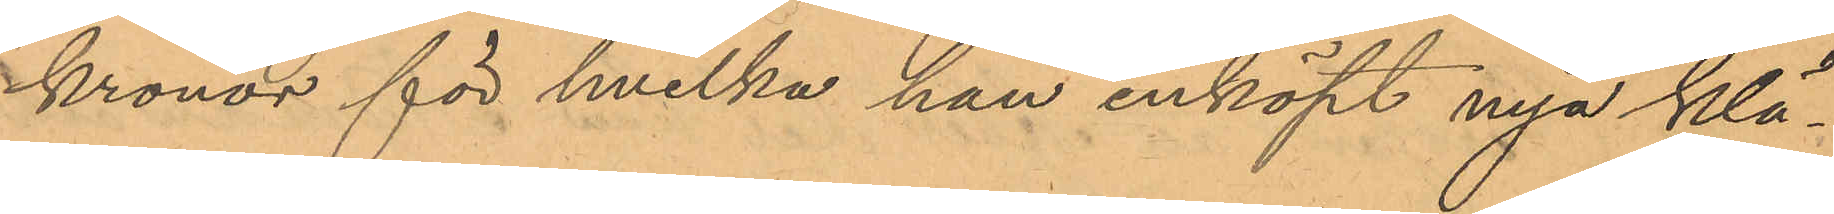kronor för hvilka han inköpt nya klä¬
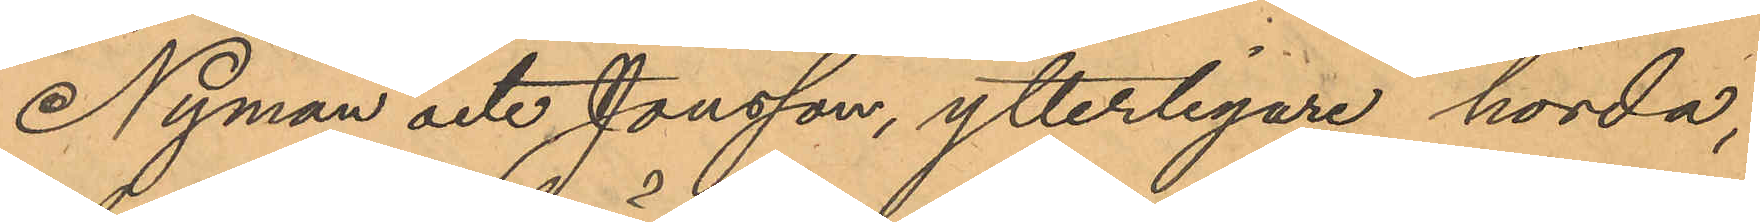Nyman och Jonsson, ytterligare hörda,
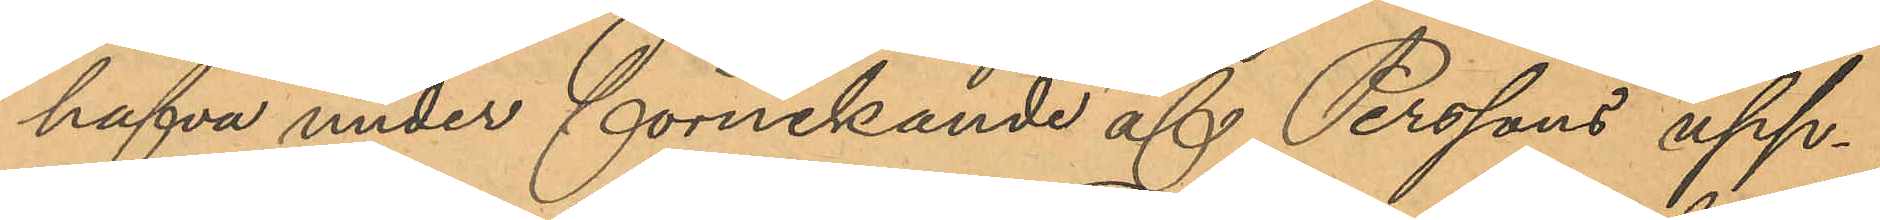hafva under förnekande af Perssons upp¬
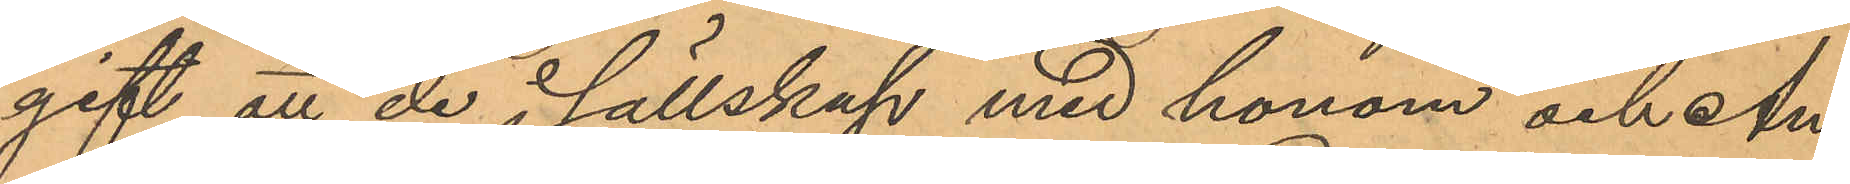gift att de i sällskap med honom och An¬
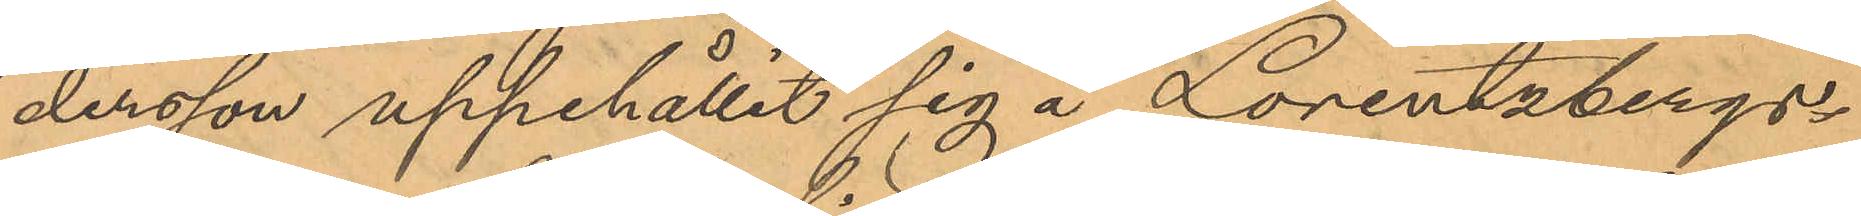dersson uppehållit sig å Lorentzbergs¬
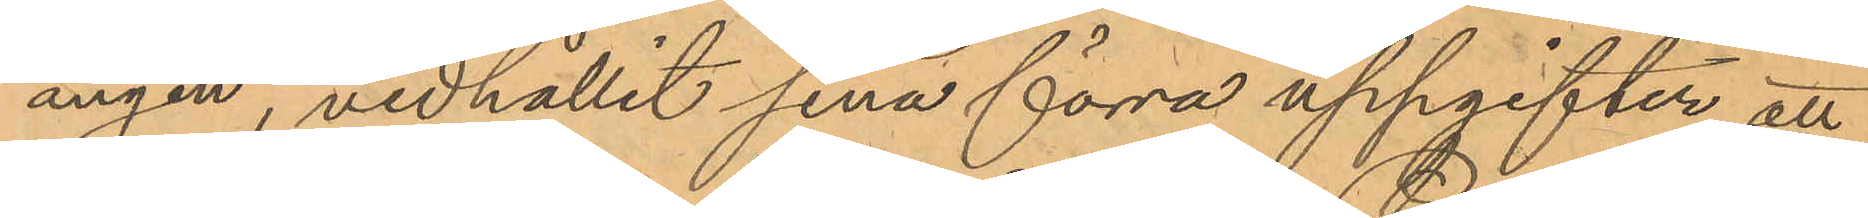ängen, vidhållit sina förra uppgifter att
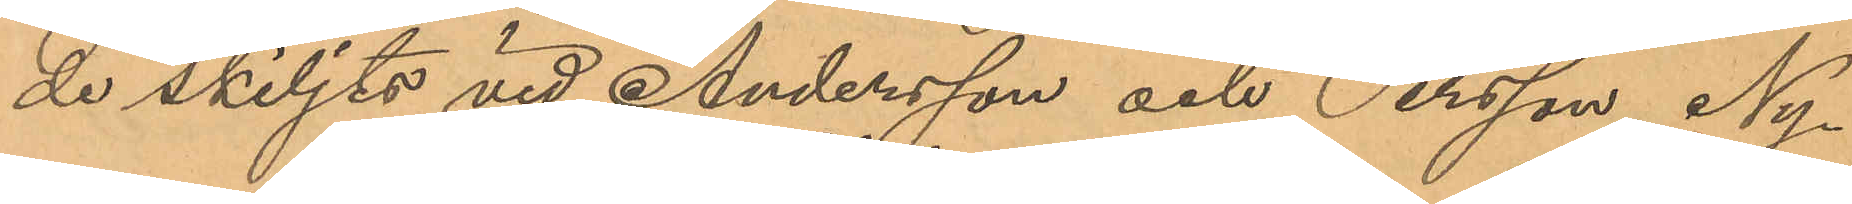de skiljts vid Andersson och Persson, Ny¬
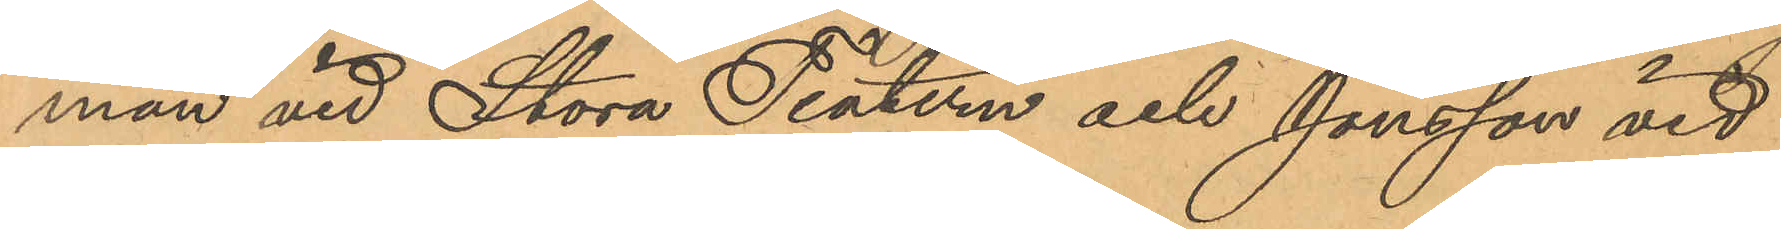man vid Stora Teatern och Jonsson vid
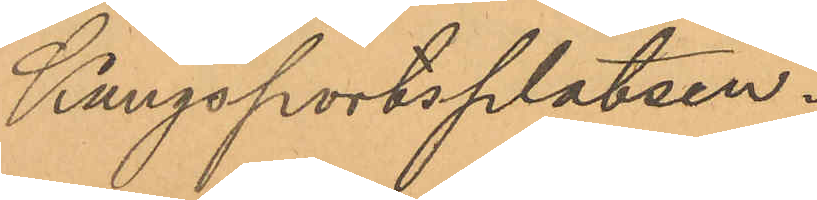Kungsportsplatsen.
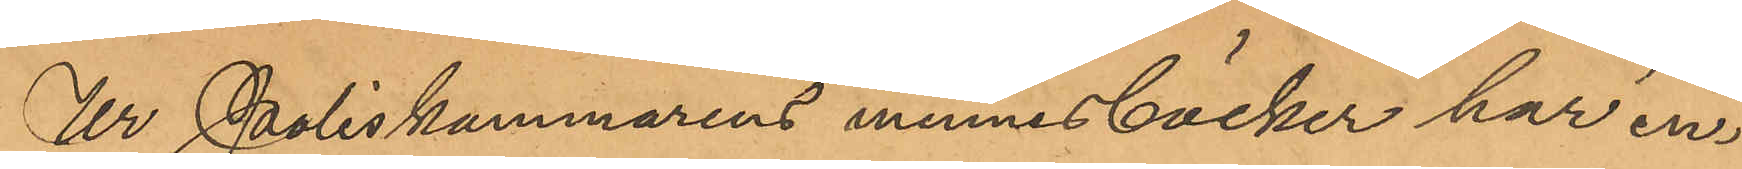Ur Poliskammarens minnesböcker har in¬
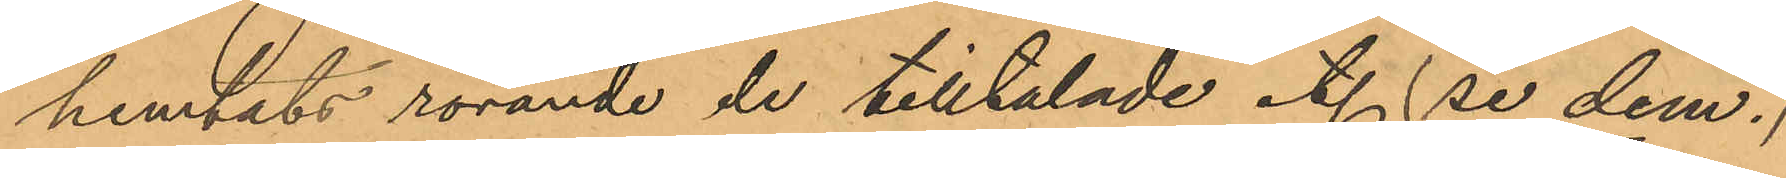hemtats rörande de tilltalade et. (se dem.)
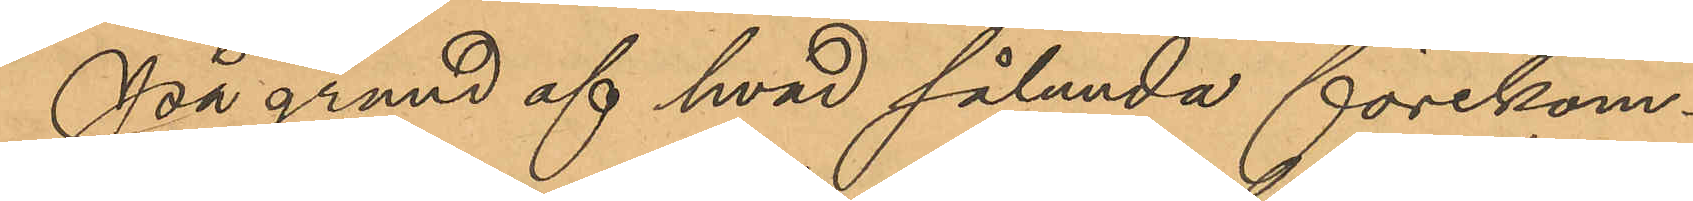På grund af hvad sålunda förekom¬
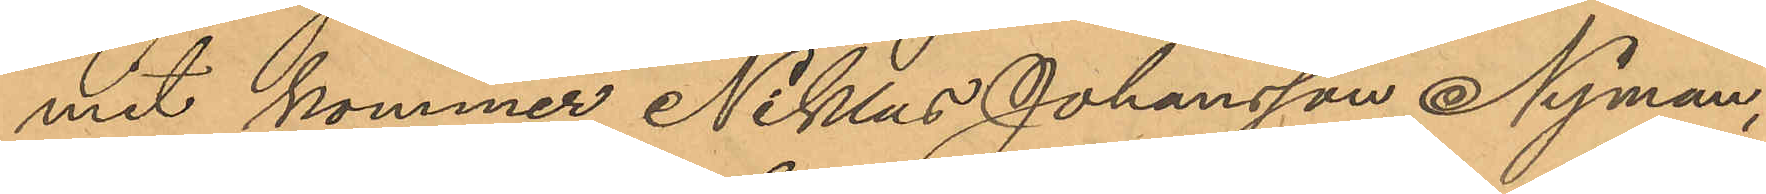mit kommer Niklas Johansson Nyman,
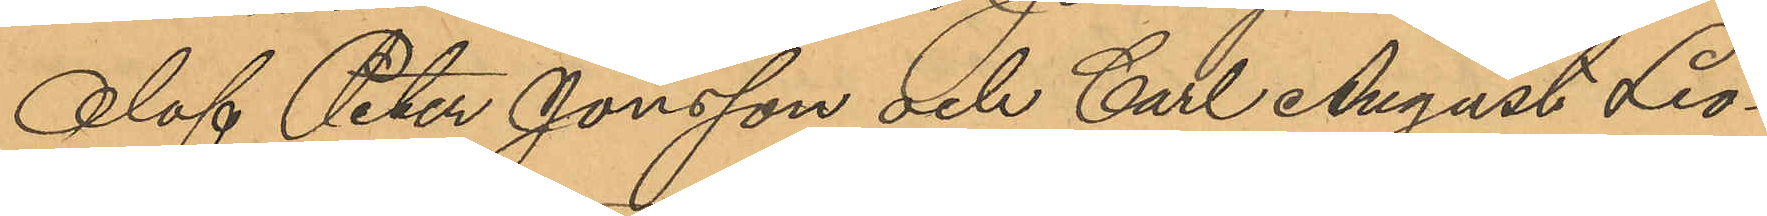Olof Peter Jonsson och Carl August Leo¬
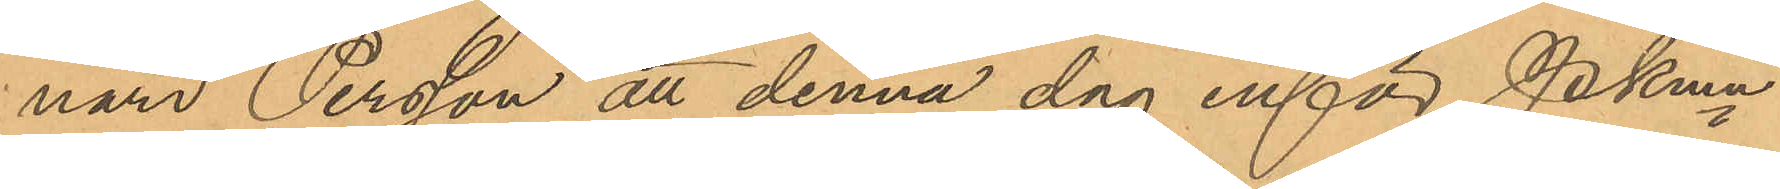nard Persson att denna dag inför Pkmn
